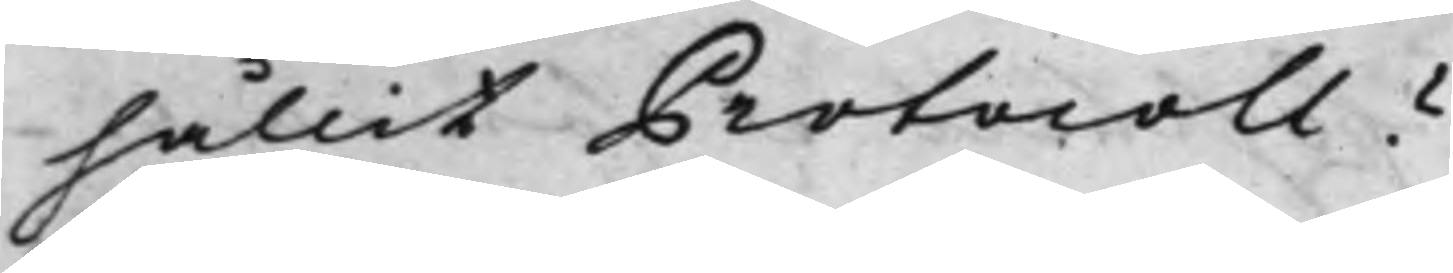hållit Protocoll?
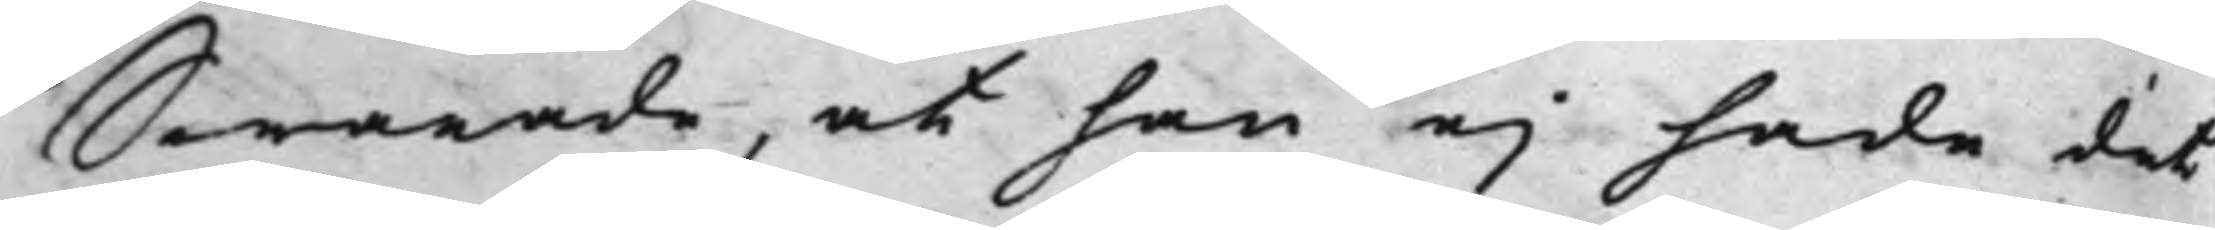Swarade, at han ej hade det
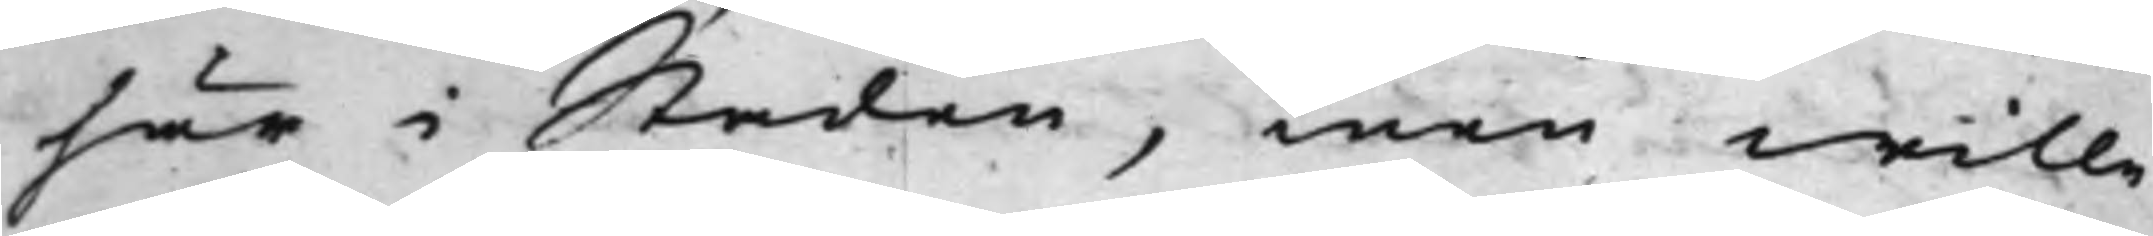här i Staden, men wille
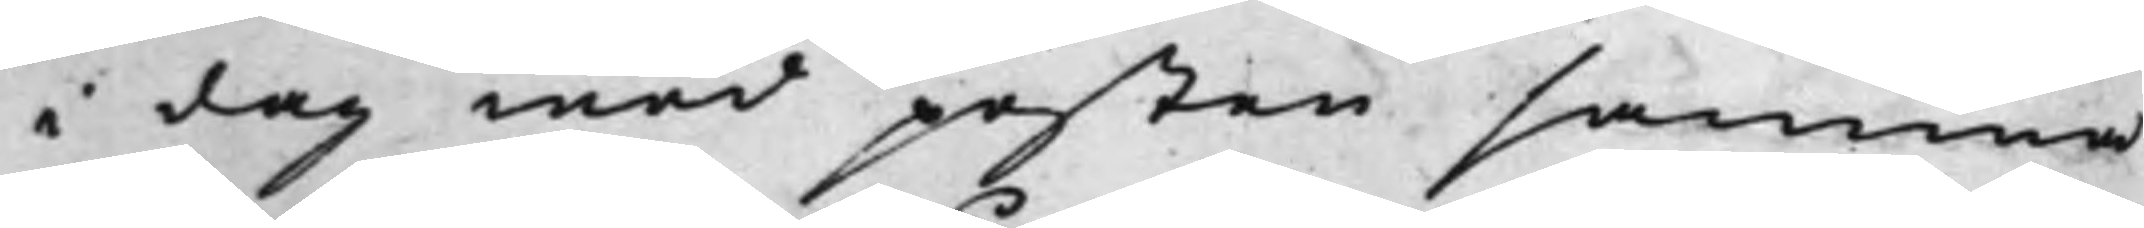i dag med posten samma
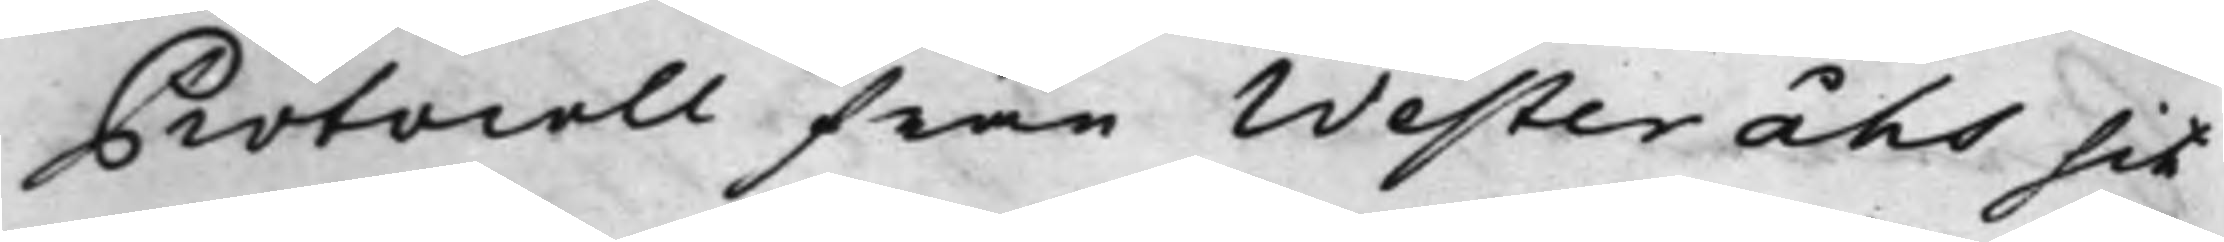Protocoll från Westeråhs hit
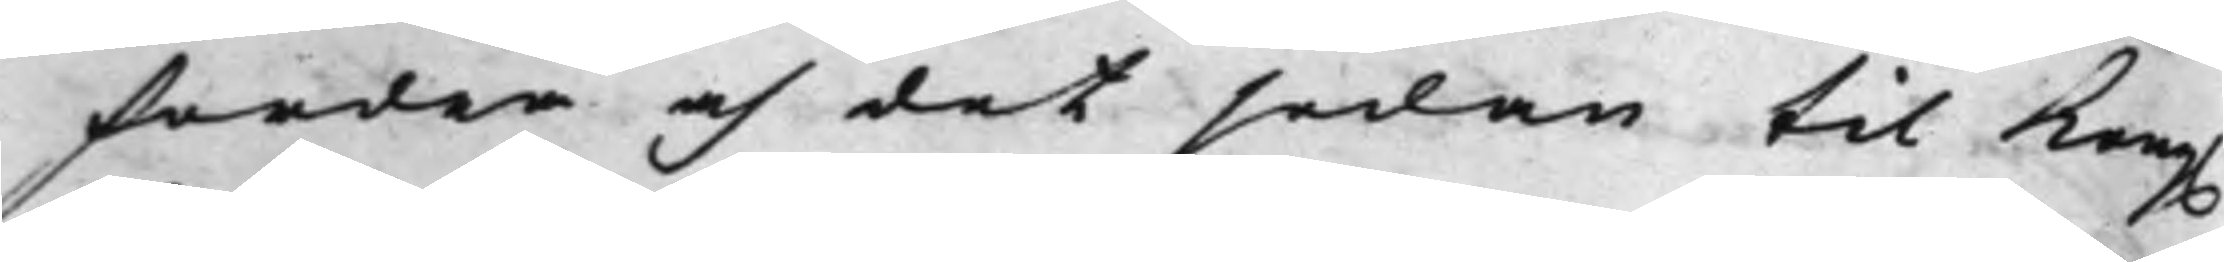fordra och det sedan til Kong.
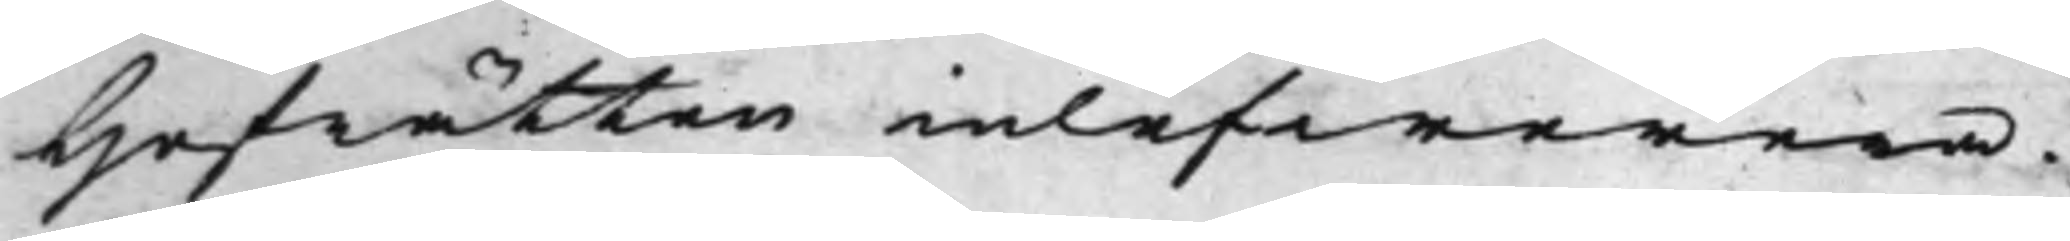Hofrätten inlefwerera.
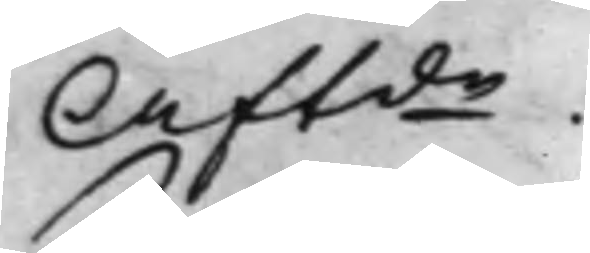Aftde.
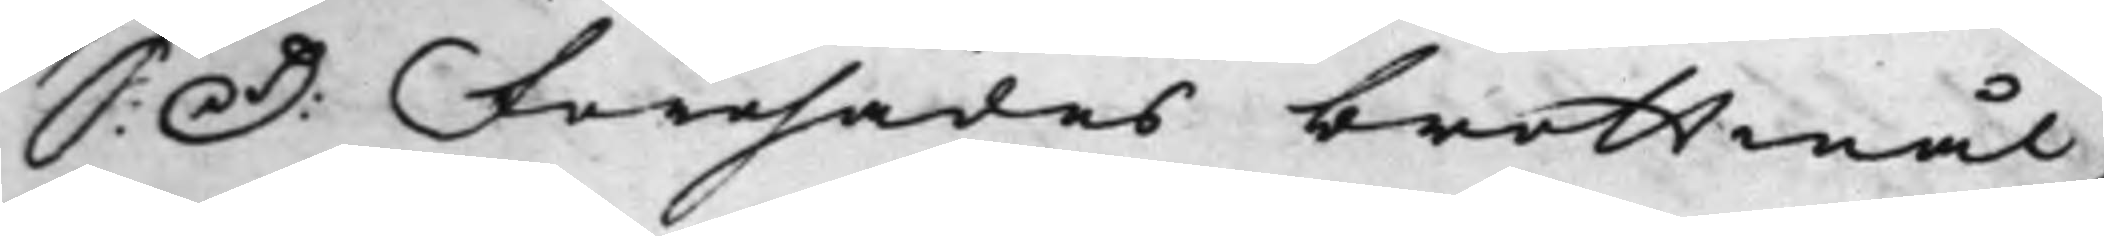S: D: Förehades brottmål,
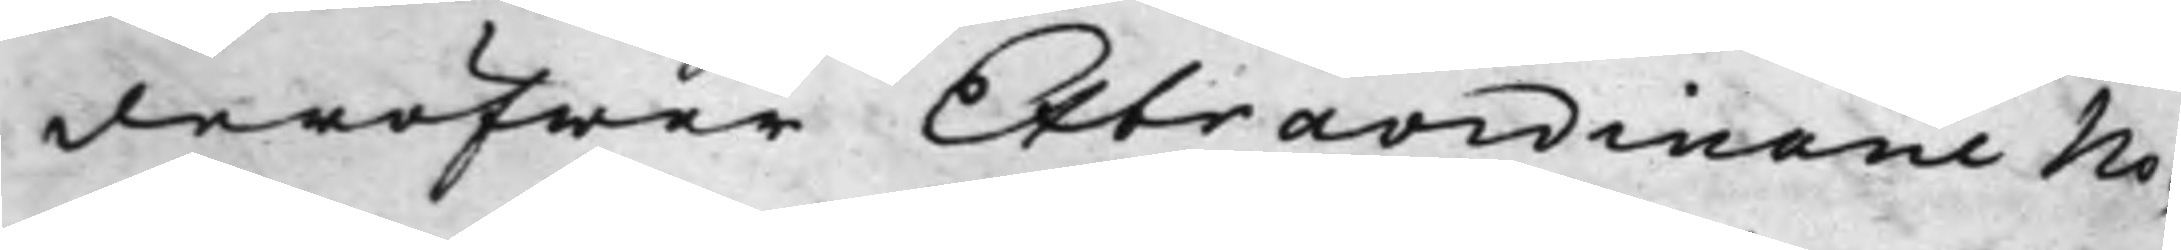deröfwer Extraordinarie No¬
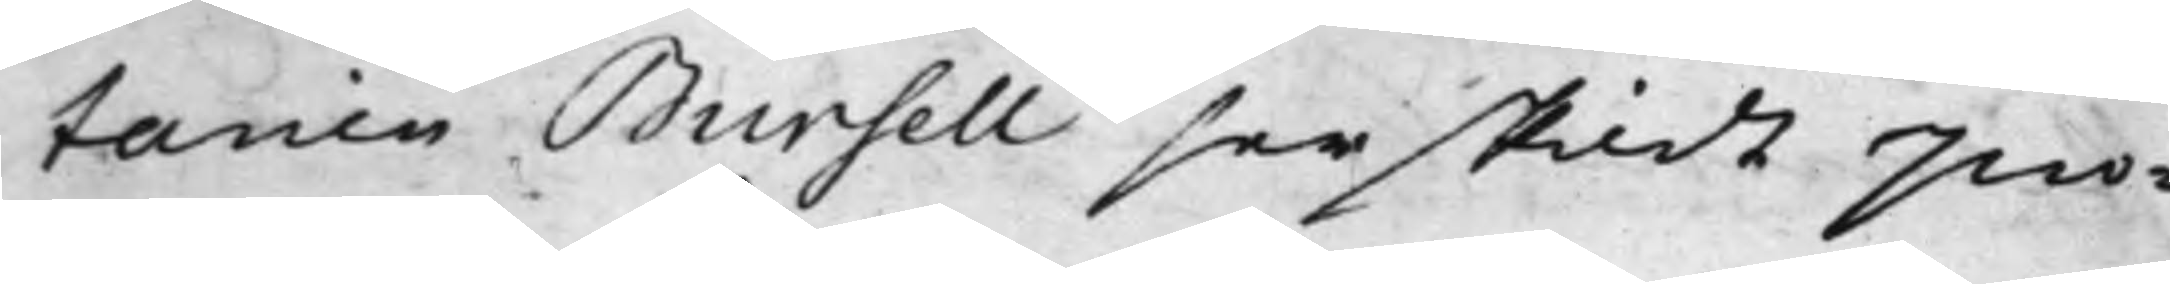tarien Bursell serskildt pro¬
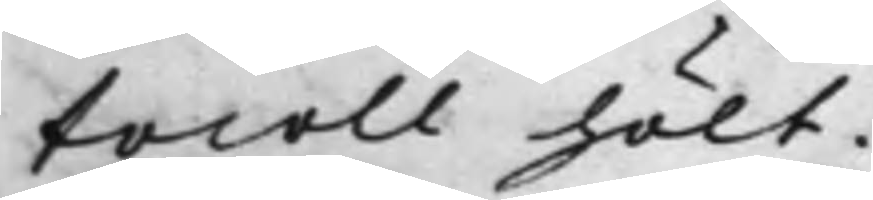tocoll hölt.
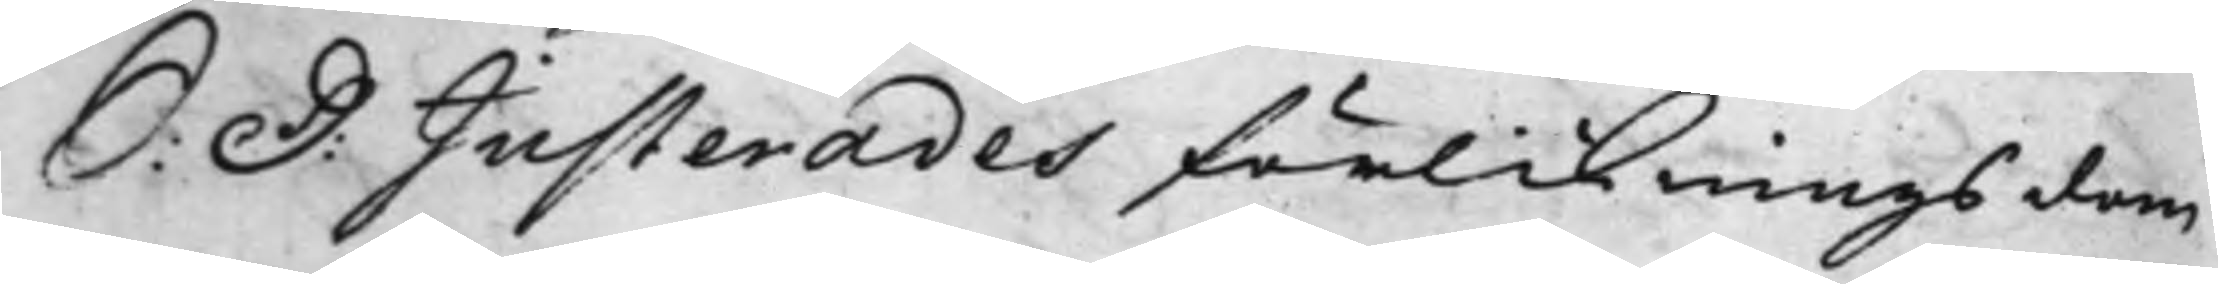S: D: Justerades förlikningsdom
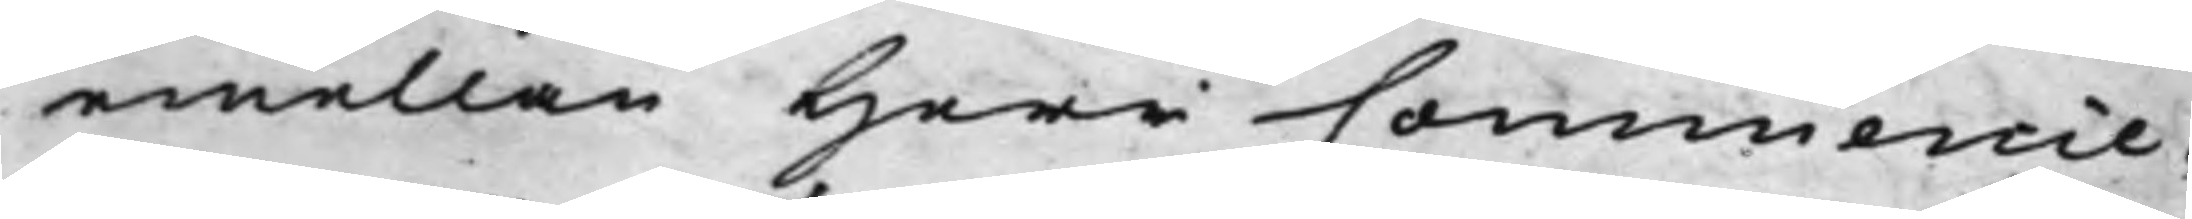emellan Herr Commercie¬
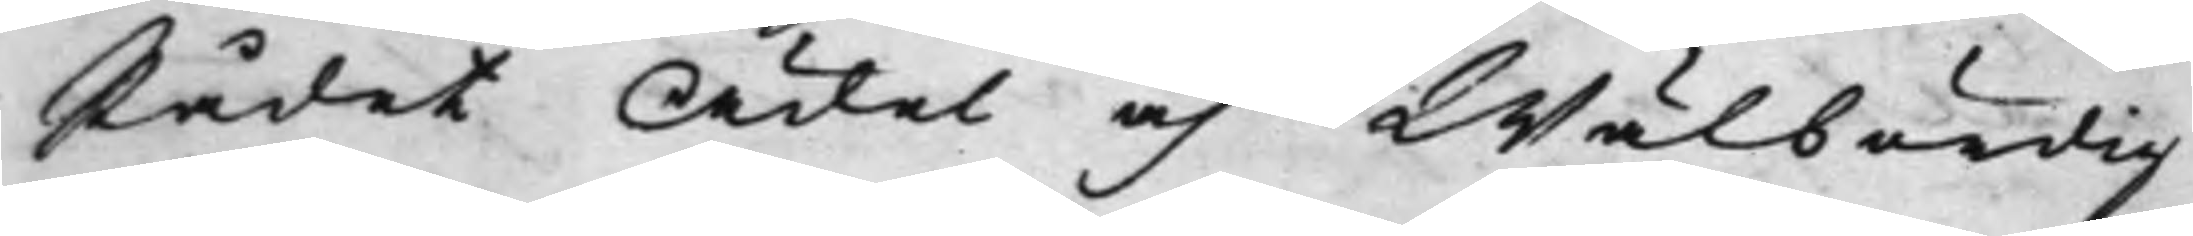Rådet Ädel och Wälbördig
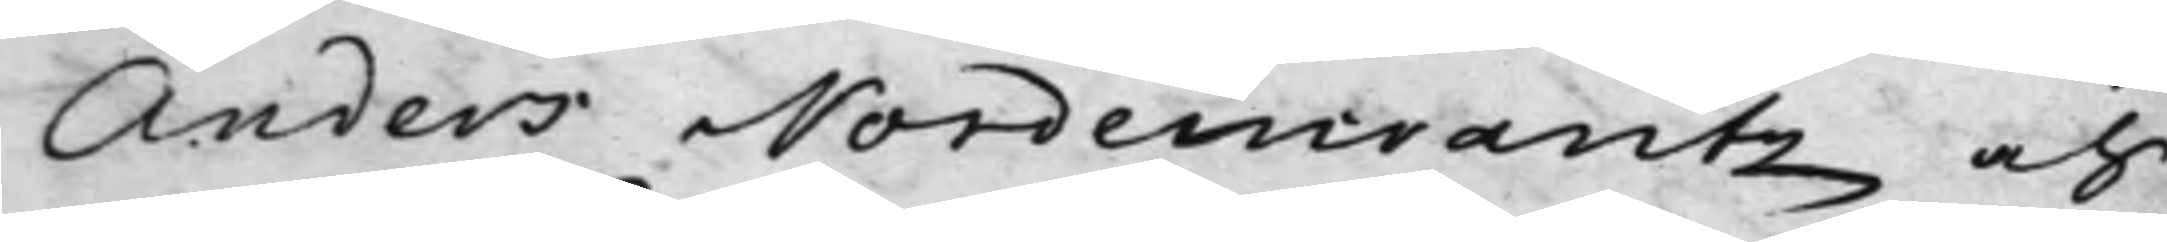Anders Nordencrantz och
